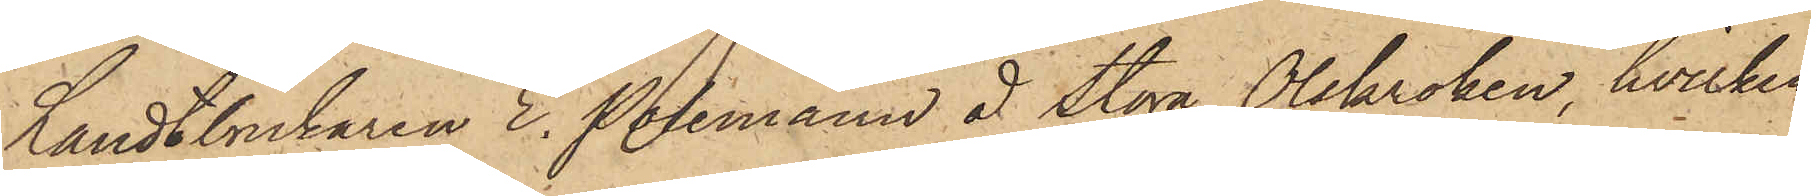Landtbrukaren E. Poleman å Stora Olskroken, hvilken
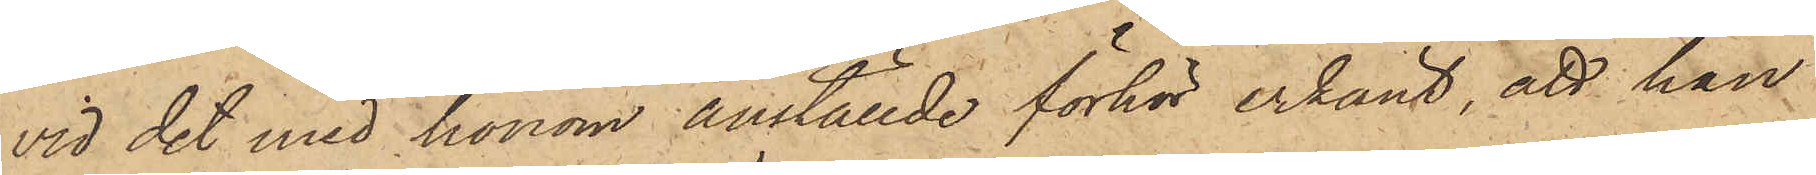vid det med honom anställde förhör erkänt, att han
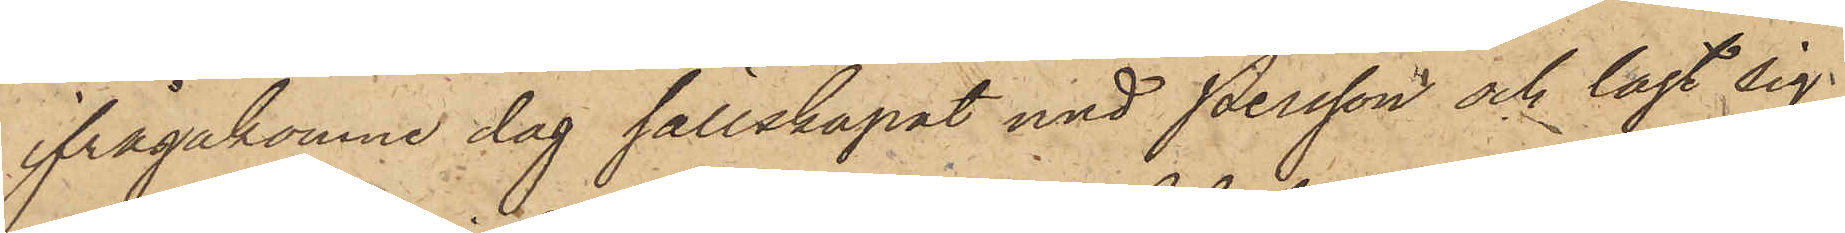ifrågakomne dag sällskapat med Persson och lagt sig
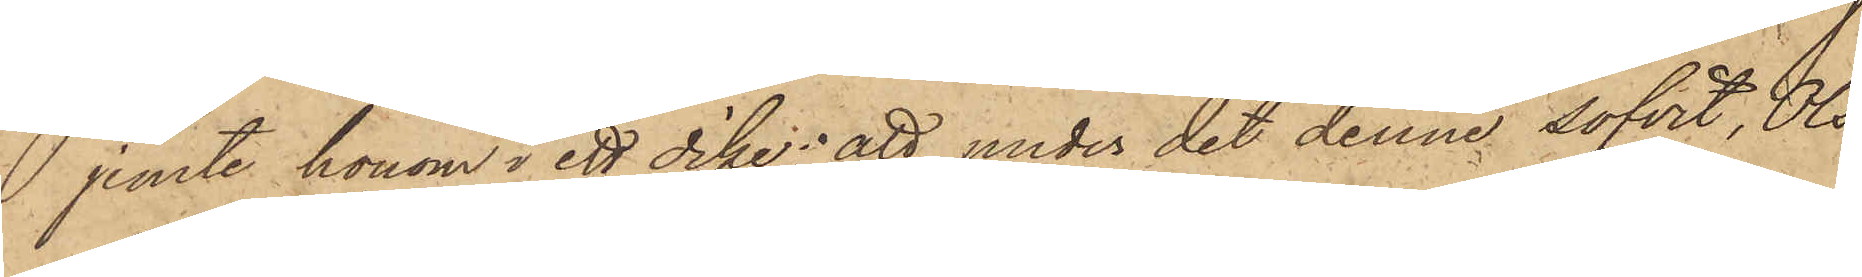jemte honom i ett dike; att under det denne sofvit, Ols¬
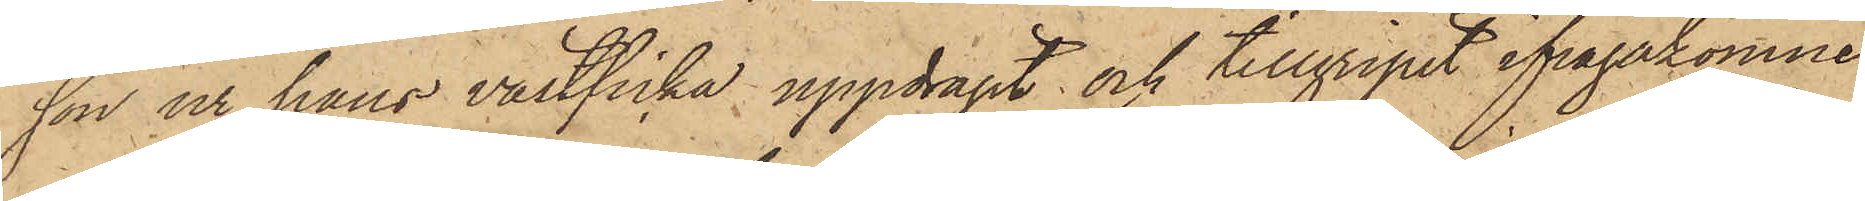son ur hans västficka uppdragit och tillgripit ifrågakomne
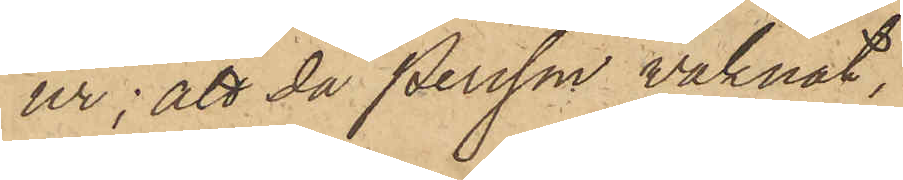ur; att då Persson vaknat,
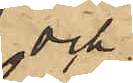och
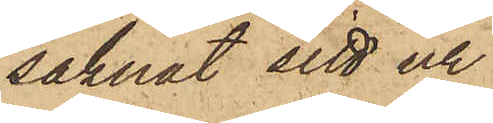saknat sitt ur
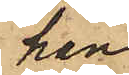han
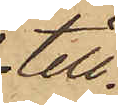till¬
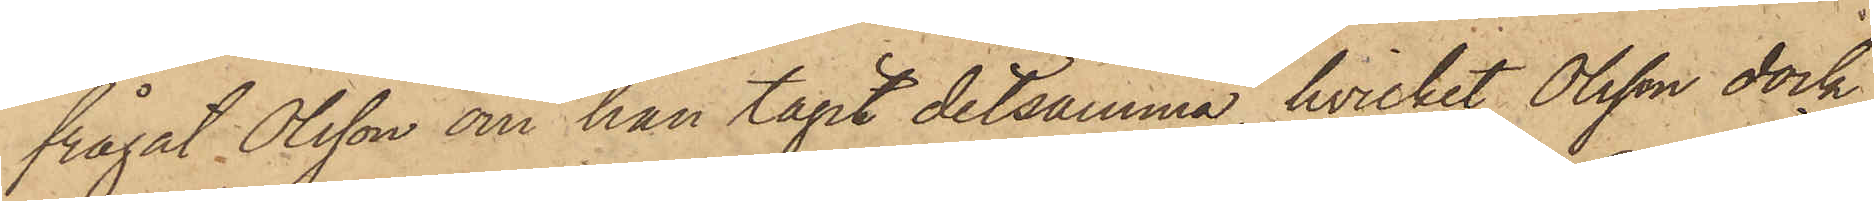frågat Olsson om han tagit detsamma, hvilket Olsson dock
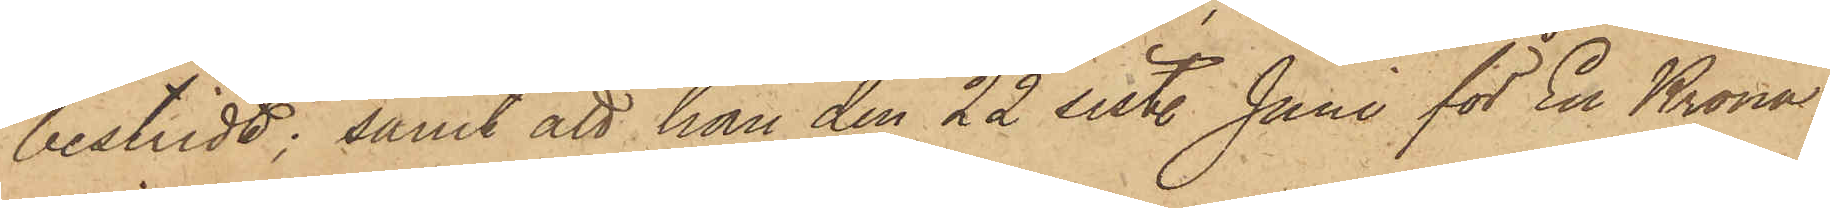bestridt; samt att han den 22 sist. Juni för En Krona
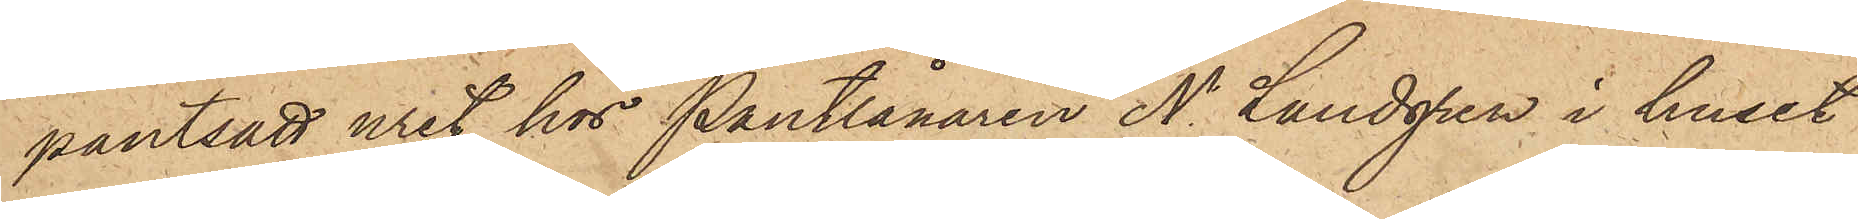pantsatt uret hos Pantlånaren N. Landgren i huset
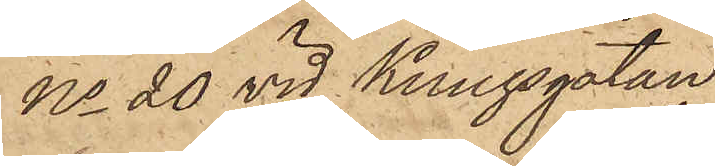No 20 vid Kungsgatan.
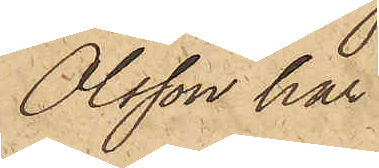Olsson har
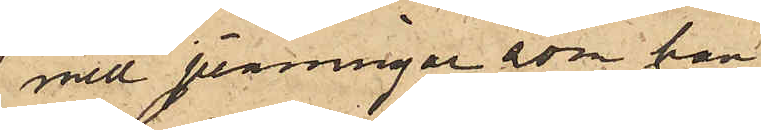med penningar, som han
